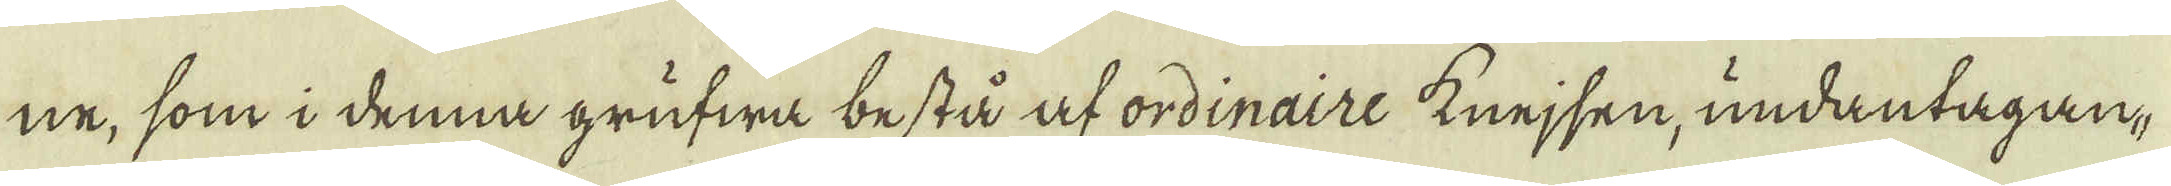ne, som i denna grufwa bestå at ordinaire knejsen, undantagan-
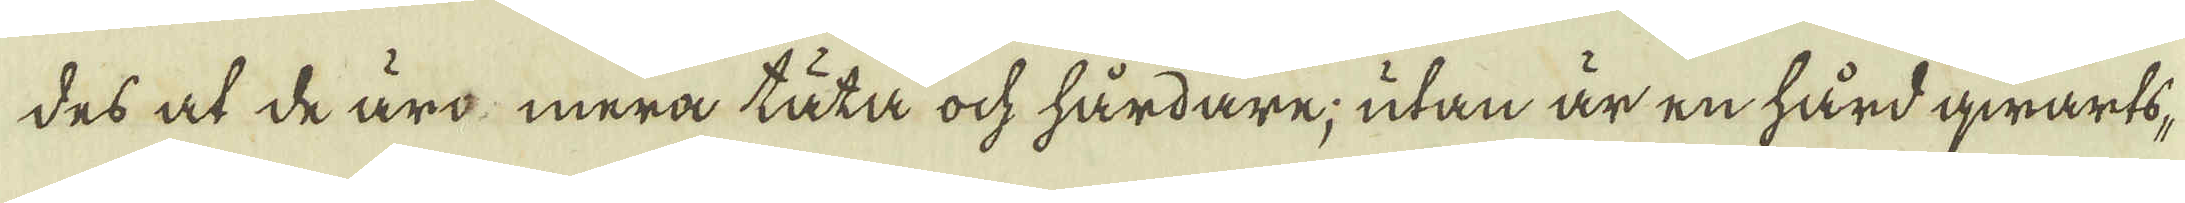des at de äro mera täta ock hårdare; utan är en hård qwarts,
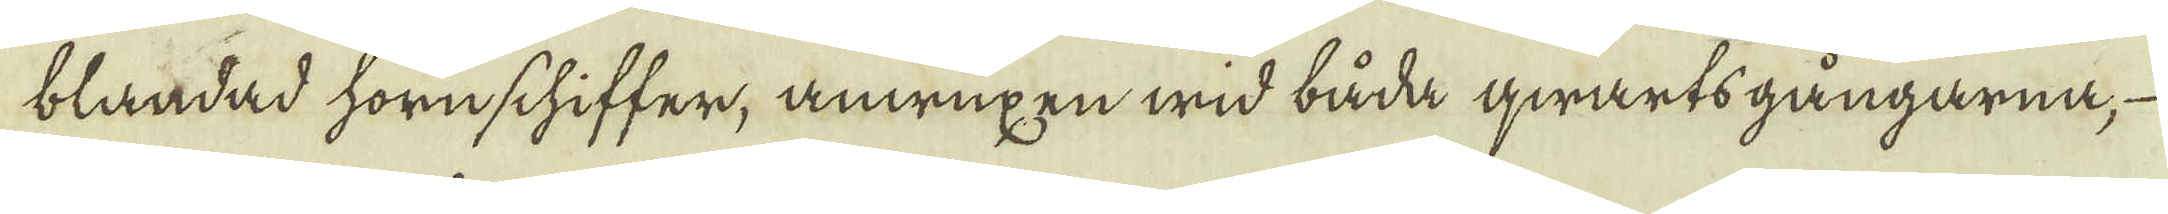blandad hornschiffer, anwuxen wid båda qwarts gångarna,
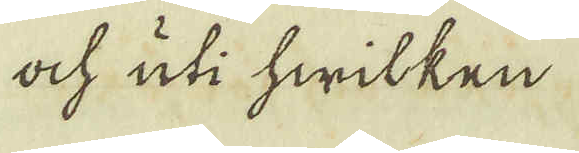ock uti hwilken
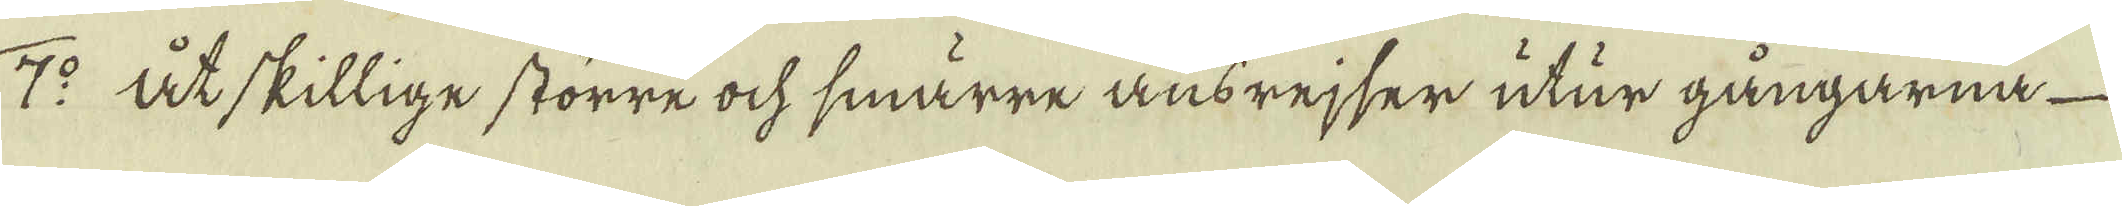7:o Åtskillige större ock smärre ansrejser utur gångarna
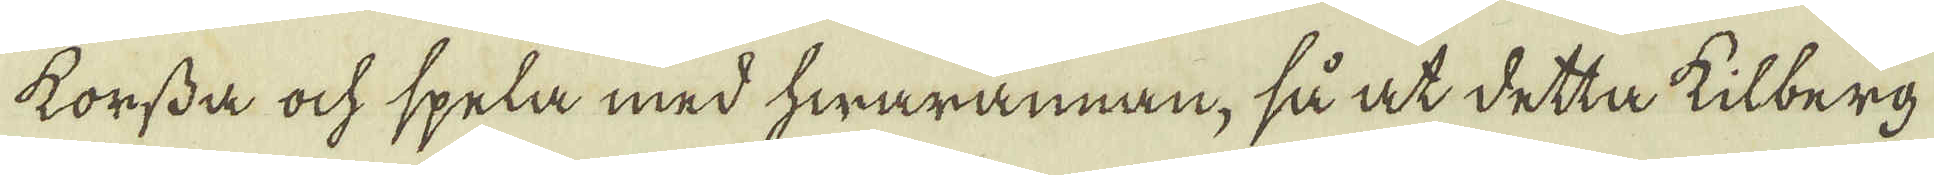korssda ock spela med hwarannan, så at detta kilberg
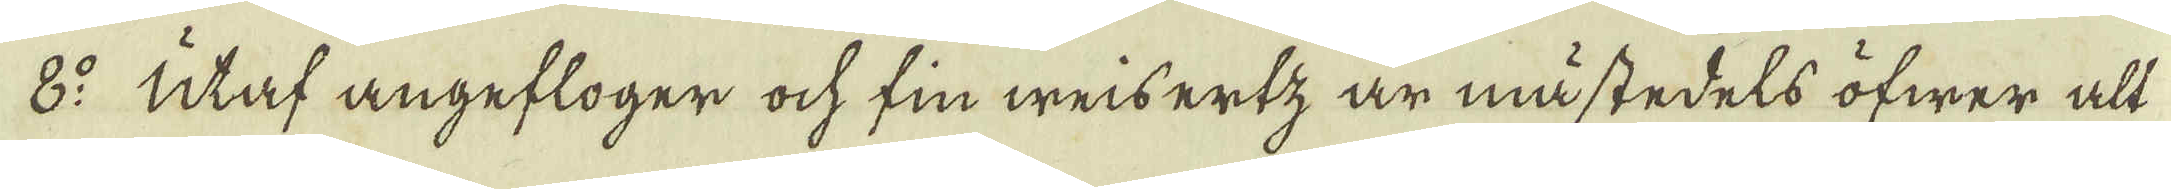8:o utaf angefloger ock fin weisertz är måstedels öfwer alt
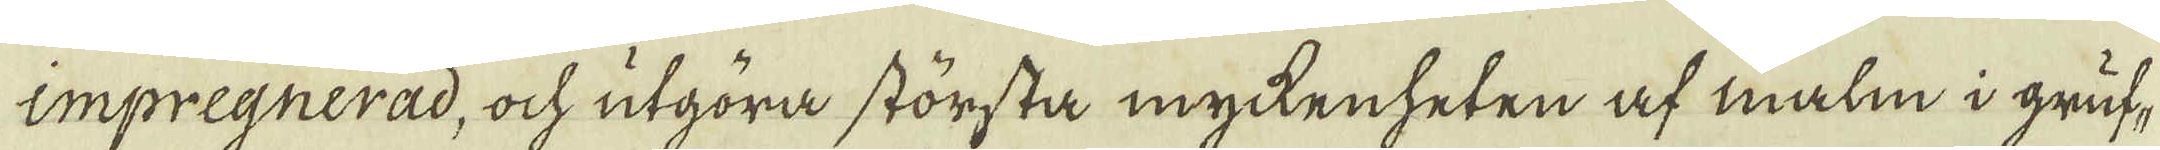impregnerad, ock utgöra största myckenheten af malm i gruf-
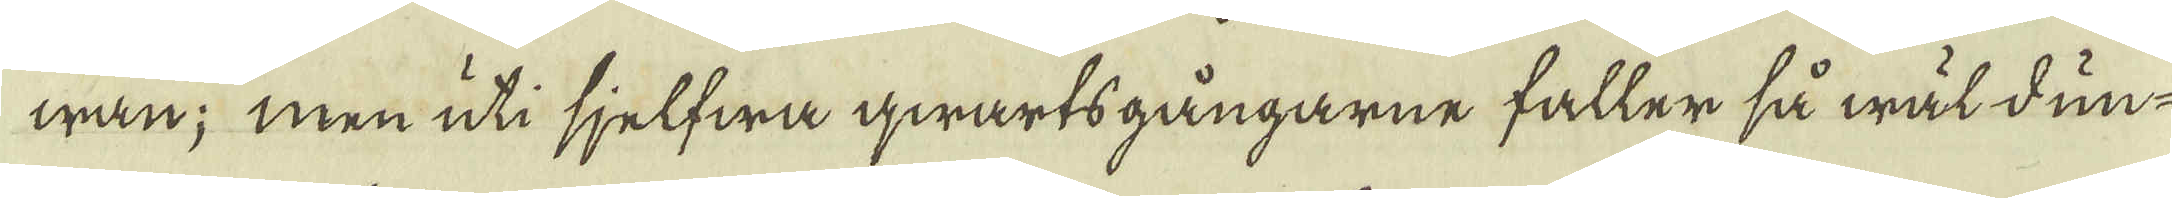wan; men uti sjelfwa qwartsgångarne faller så wäl dun-
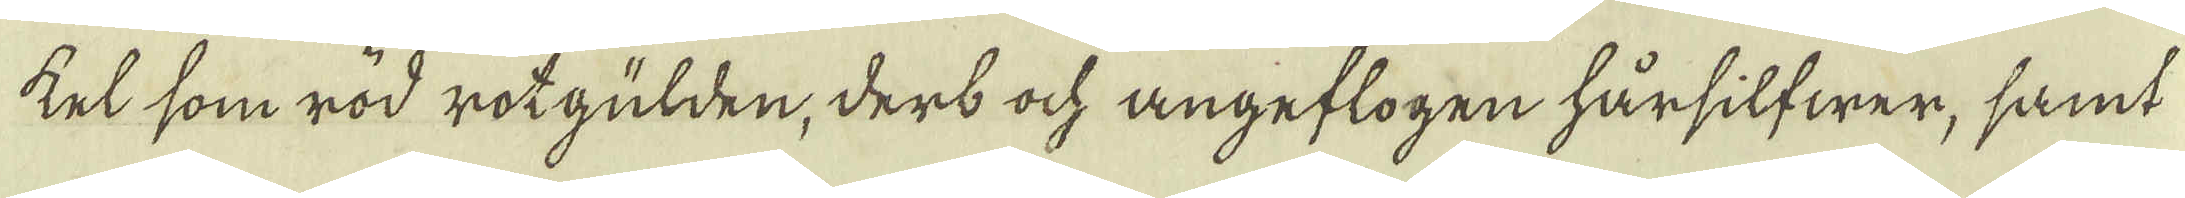kel som röd rotgülden, derb ock angeflogen härsilfwer, samt
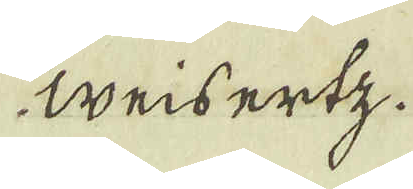Weisertz.
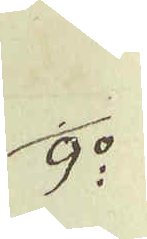9:o
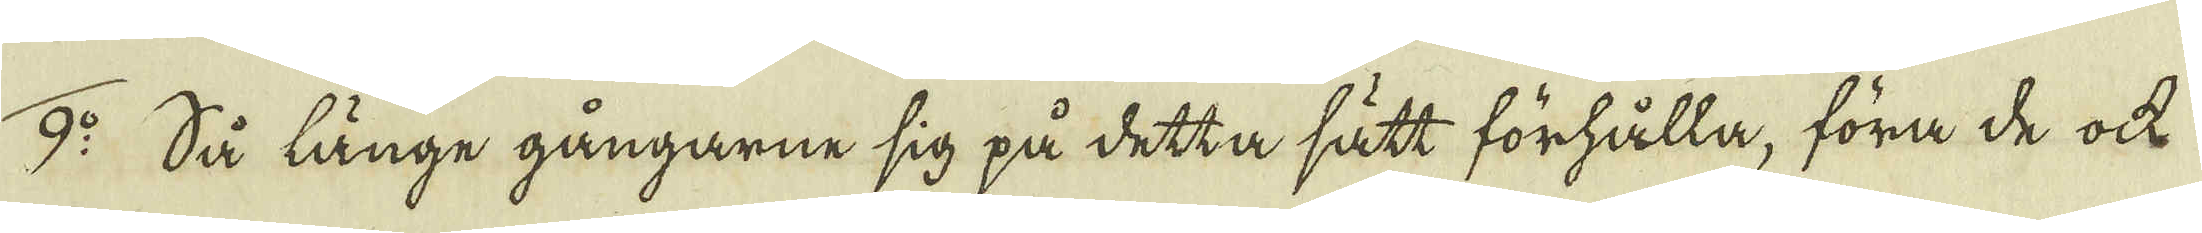9:o Så länge gångarne sig på detta sätt förhålla, föra de ock
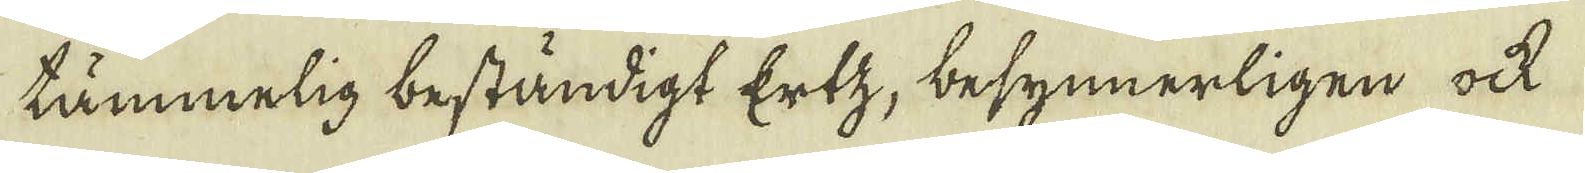tämmelig beständigt Ertz, besynnerligen ock
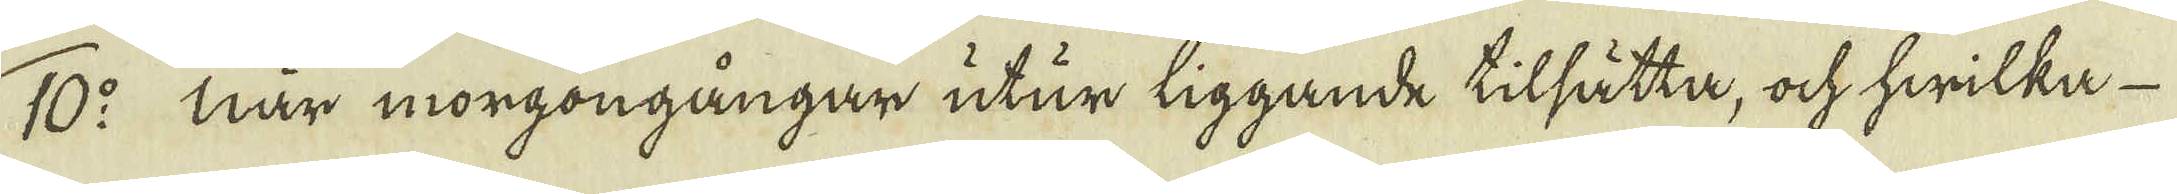10:o När morgongångar utur liggande tilsätta, ock hwilka
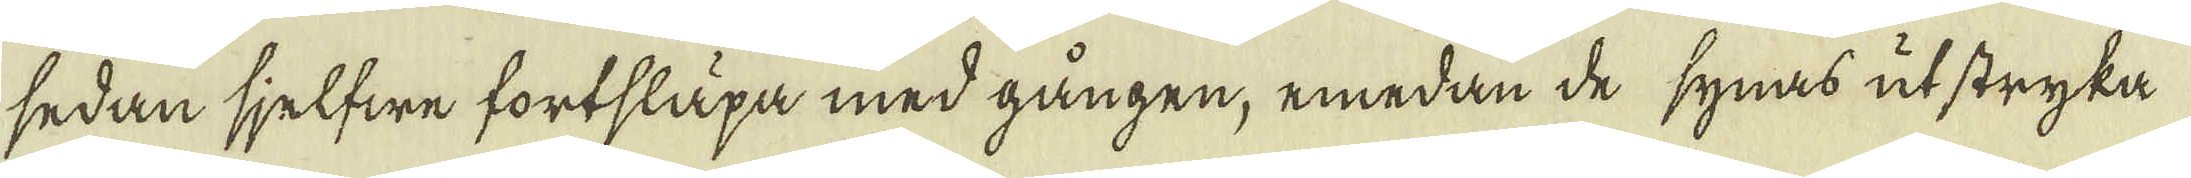sedan sjelfwe fortsläpa med gången, emedan de synas utstryka
